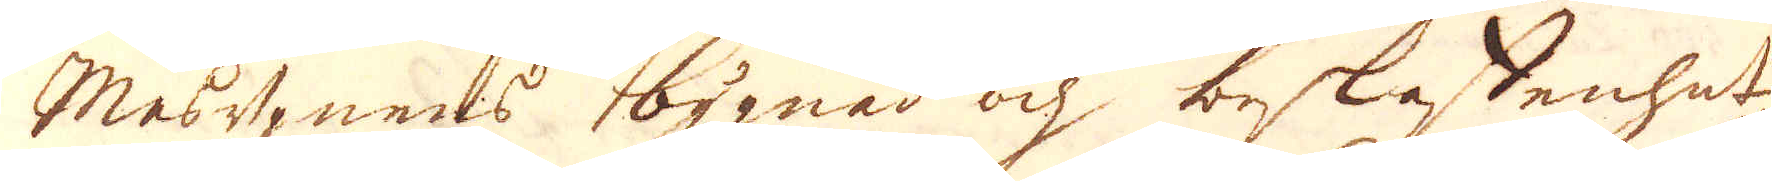Masugnens bygnad och beskaffenhet,
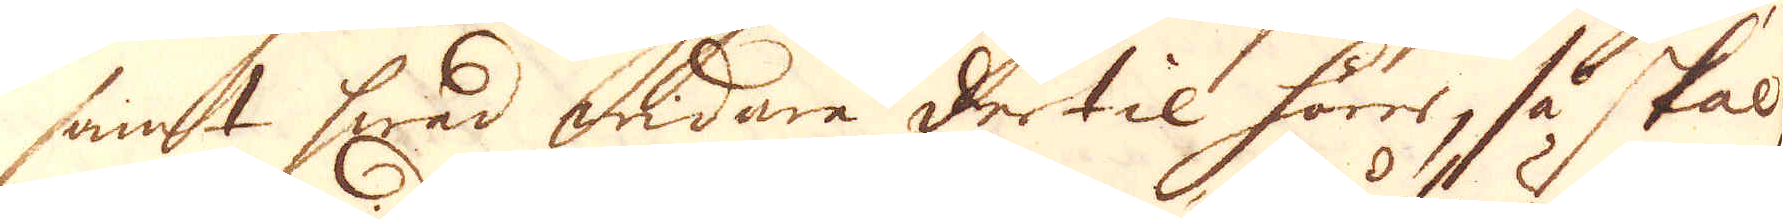samt hwad andare dertil hörer, så skal
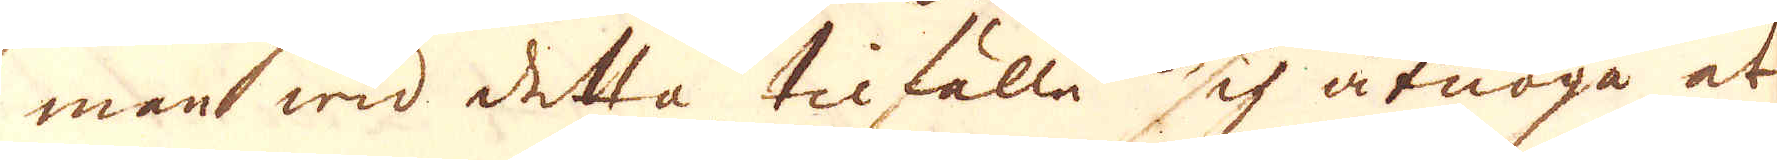man wid detta tilfälle sig åtnöga at
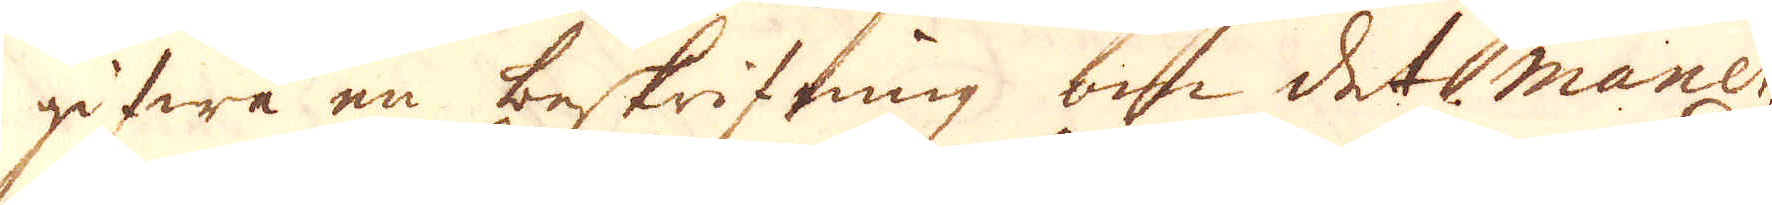gifwa en beskrifning om det maner,
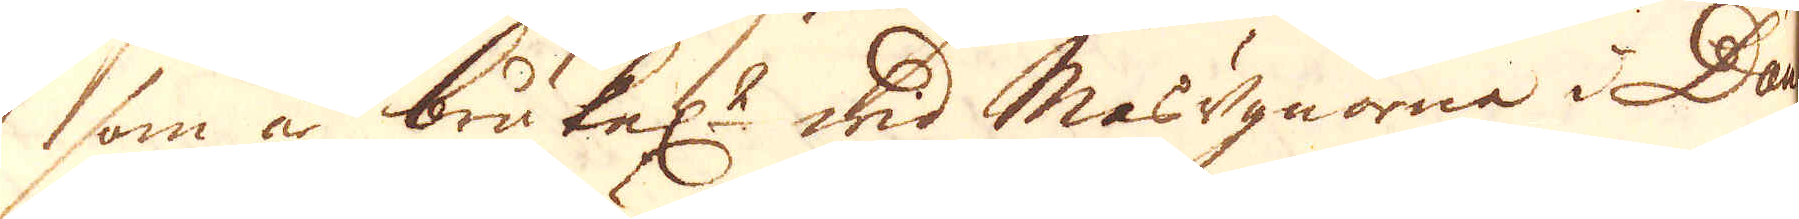som än brukel:t wid Masugnorne i Dau-
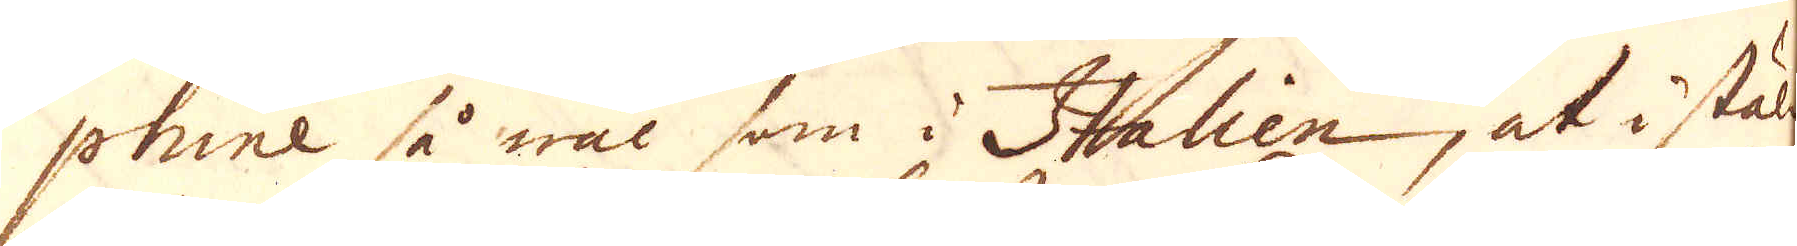phine så wäl som i Italien, at i skäl-
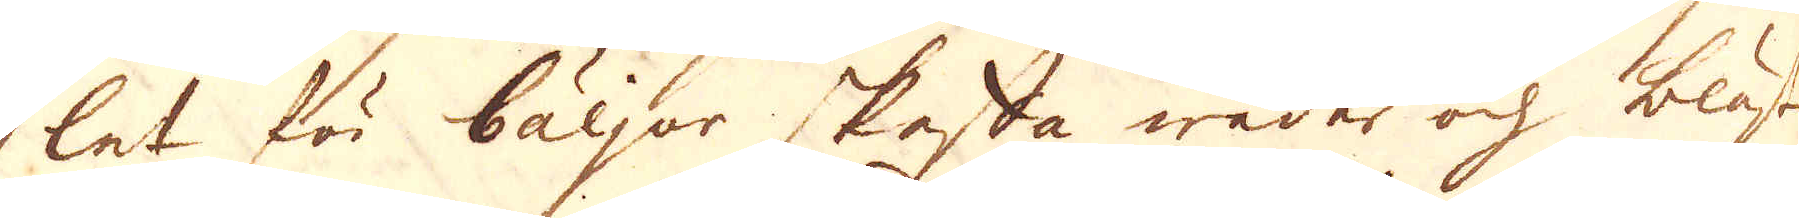let för bäljor skesta weder och blåst
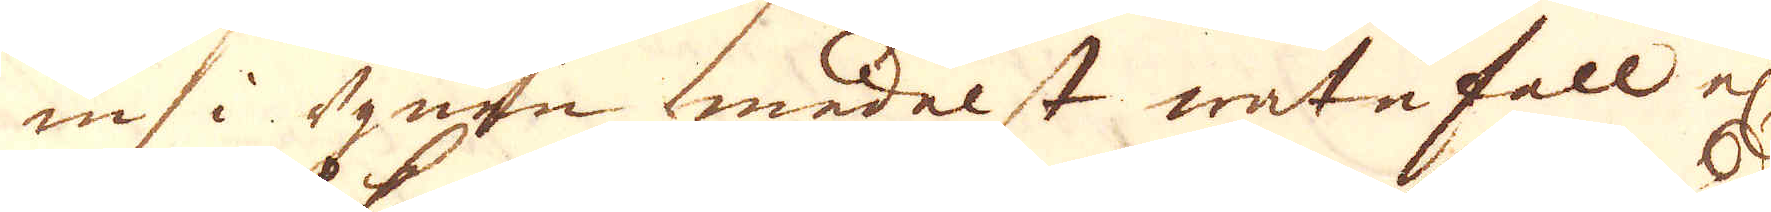in i ugnen medelst watnfall el:r
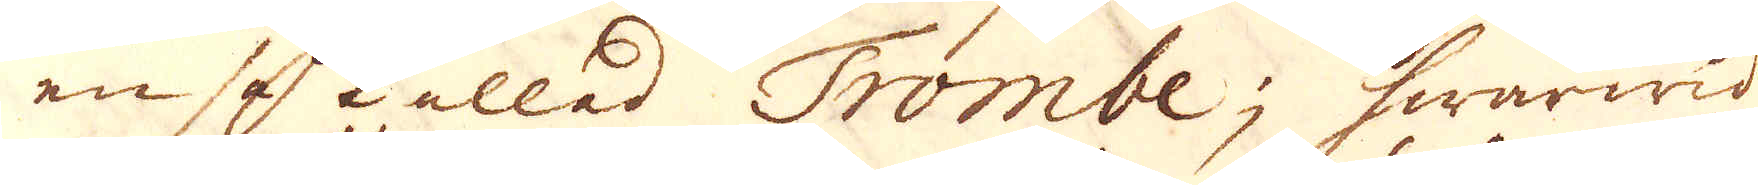en så kallad Trombe; hwarwid
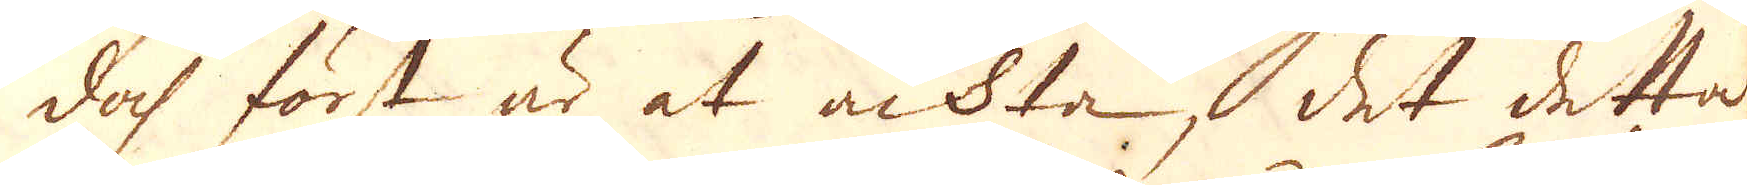doch först är at ackta, det detta
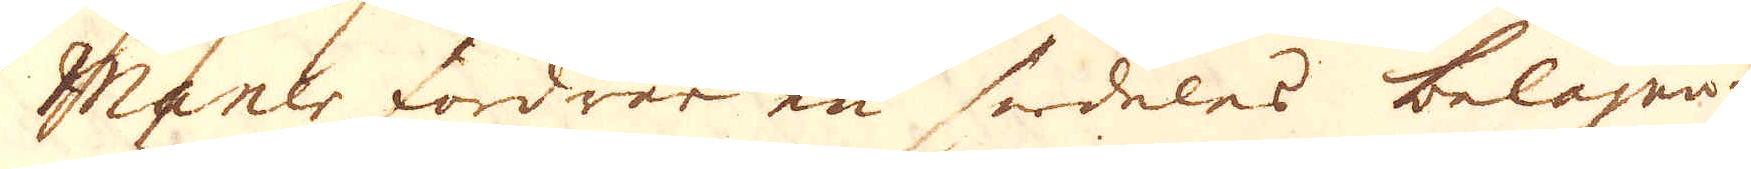Manélr oördrar en sr deles beäagna-
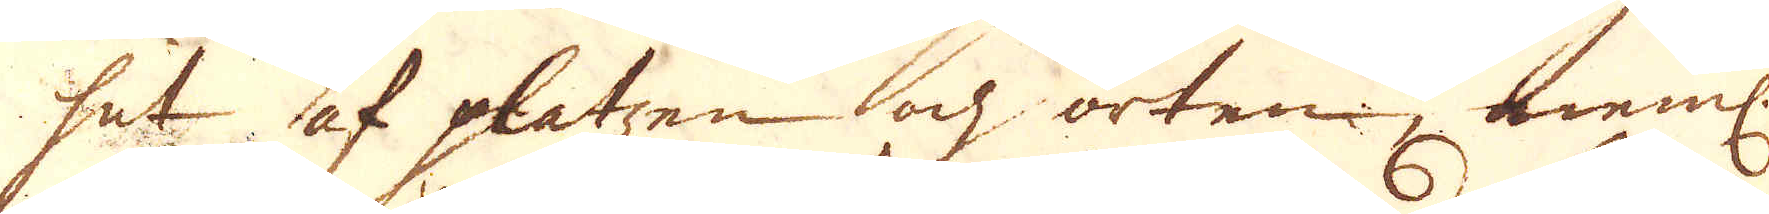het af platzen och orten; neml.
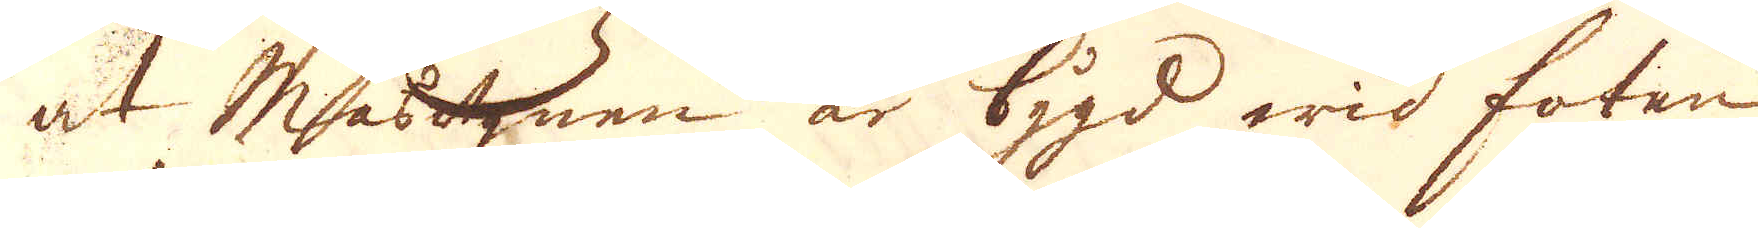at Masugnen är bygd wid foten
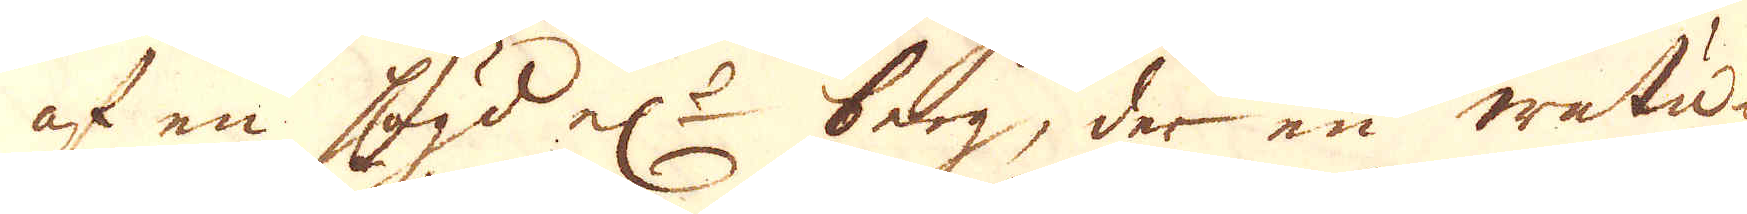af en högd el:r 2 berg, der en watu-
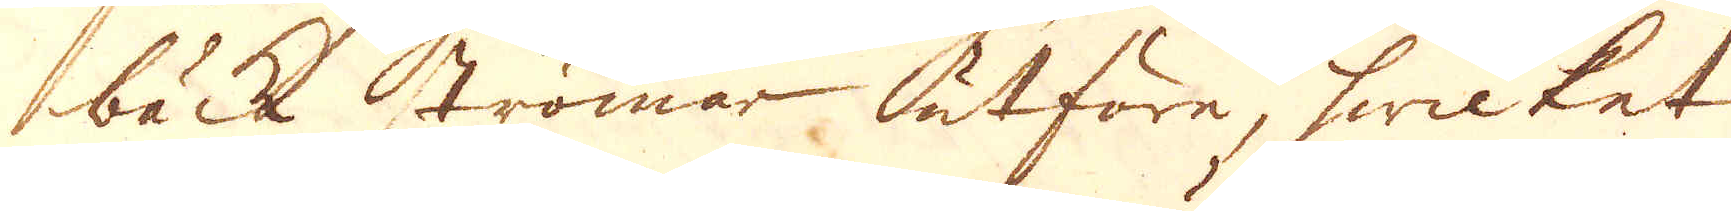bäck strömar utföre, hwilket
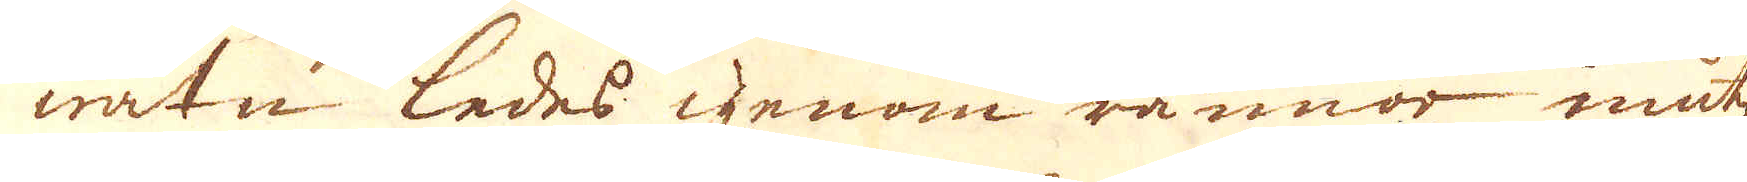watn ledes igenom rännor inutij
